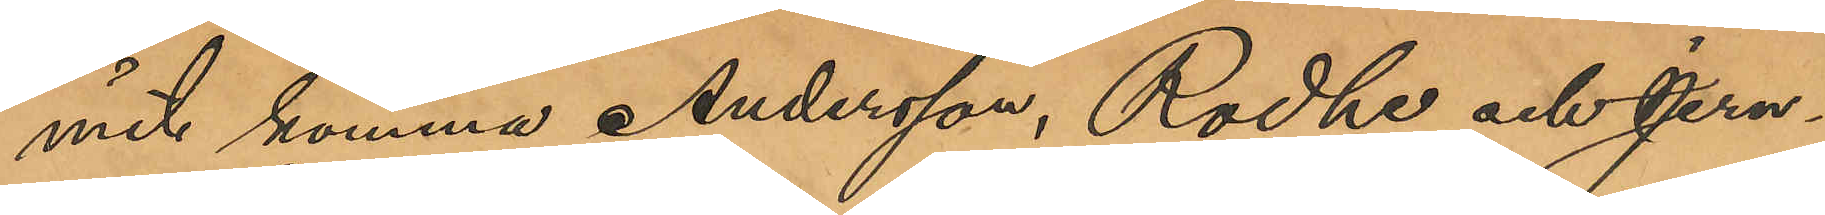mit komma Andersson, Rodhe och Jern¬
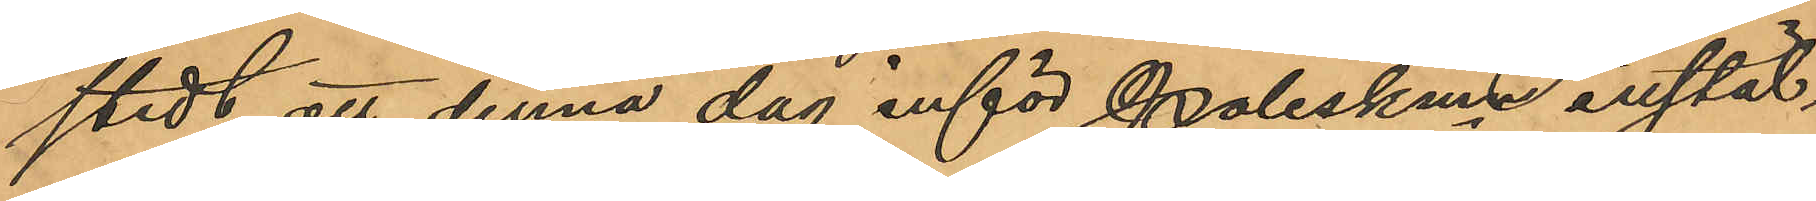stedt att denna dag inför Poliskmn instäl¬
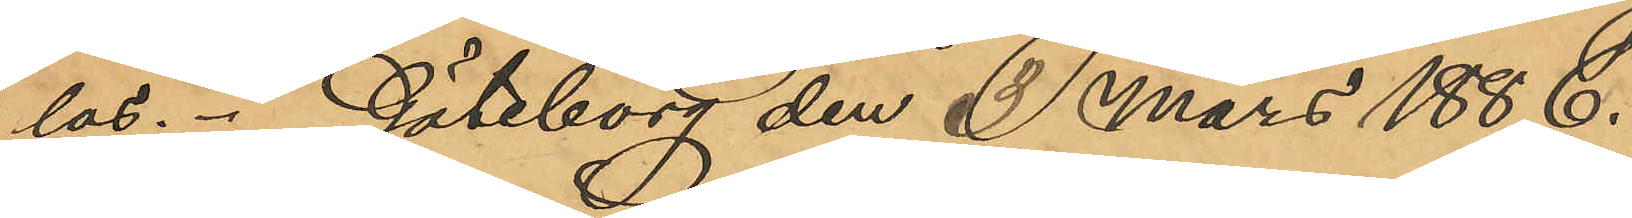las. Göteborg den 1 Mars 1886.
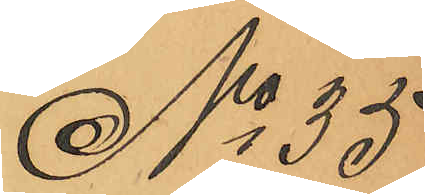No 35
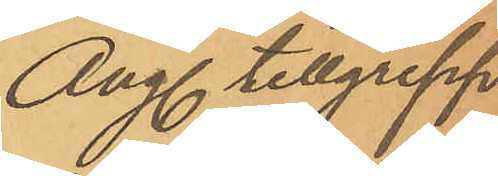Ang tillgrepp
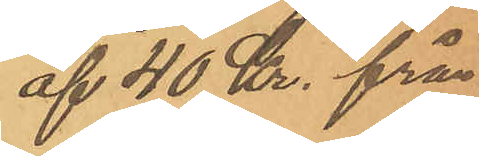af 40 Kr. från
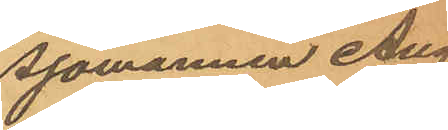Sjömannen Aug.
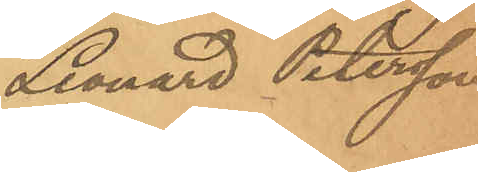Leonard Petersson
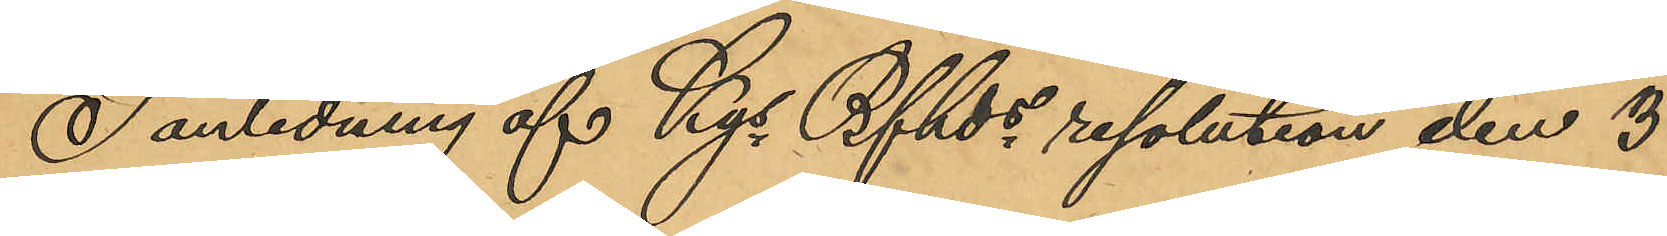I anledning af Kgl Bfhds resolution den 3
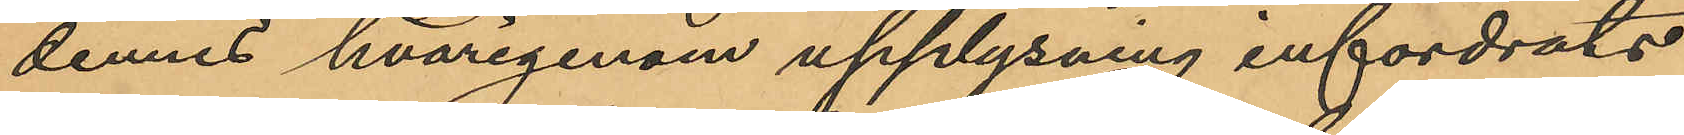dennes hvarigenom upplysning infordrats
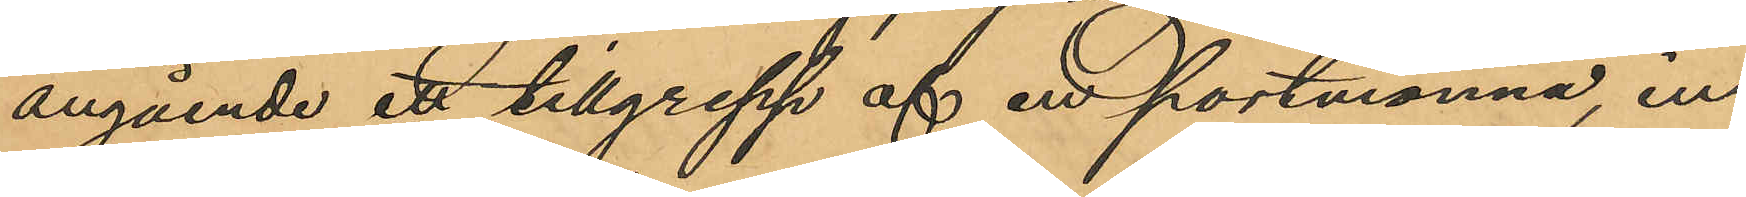angående ett tillgrepp af en portmonnä in¬
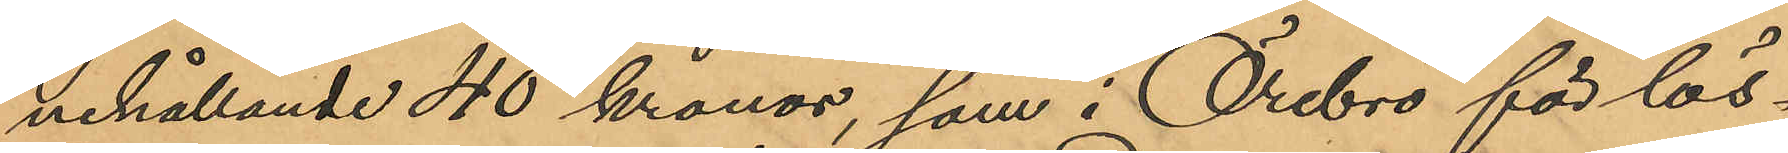nehållande 40 kronor, som i Örebro för lös¬
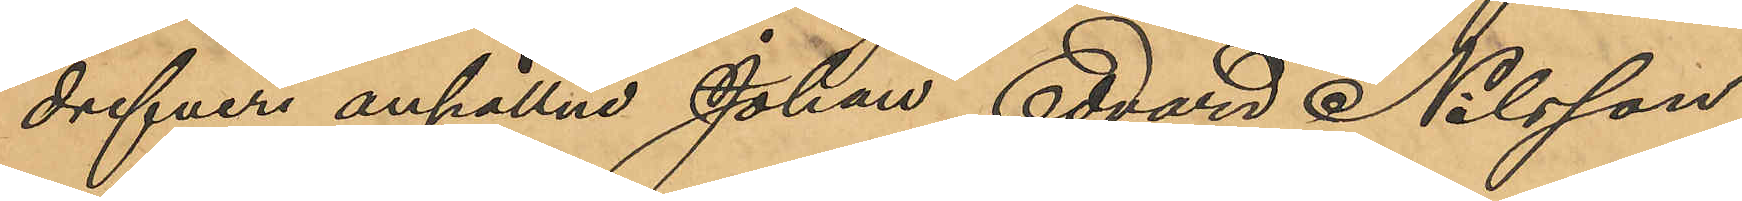drifveri anhållne Johan Edvard Nilsson
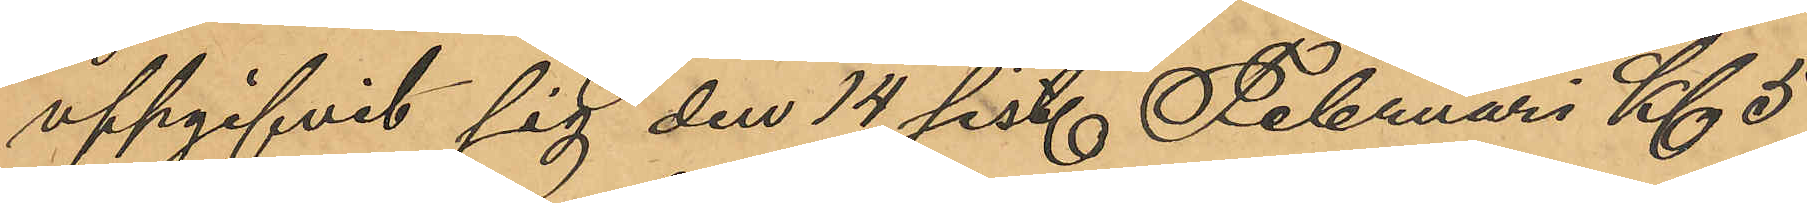uppgifvit sig den 14 sist. Februari Kl 5
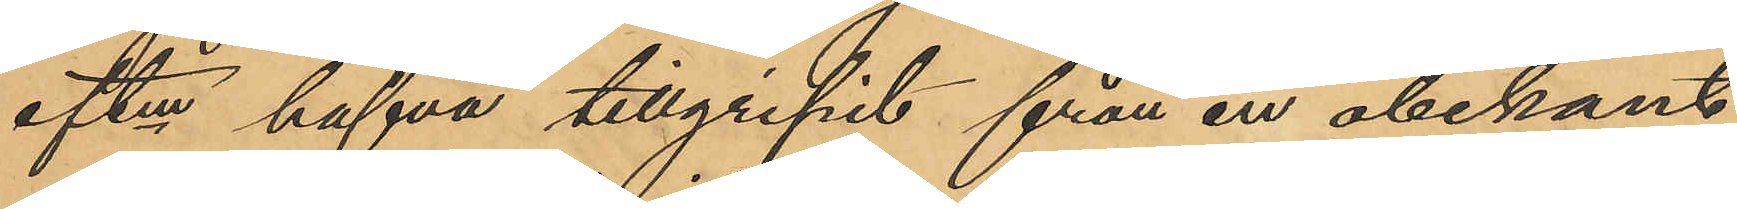eftm hafva tillgripit från en obekant
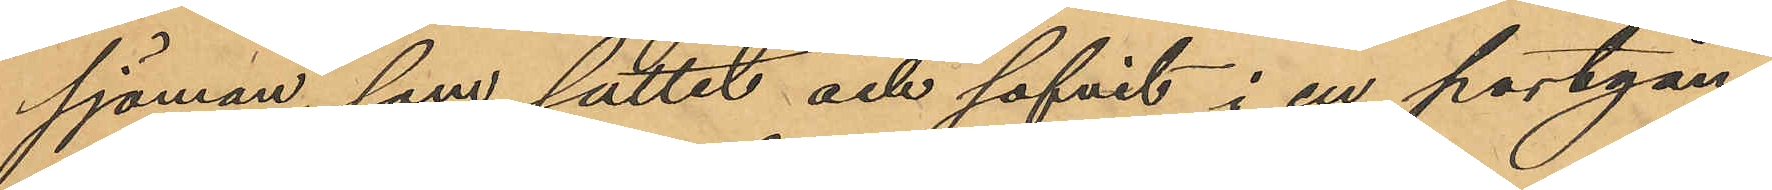sjöman, som suttit och sofvit i en portgång
